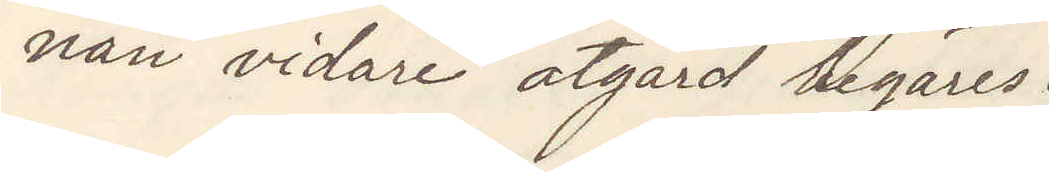nan vidare åtgärd begäres.
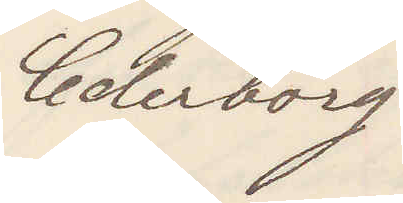Cederborg.
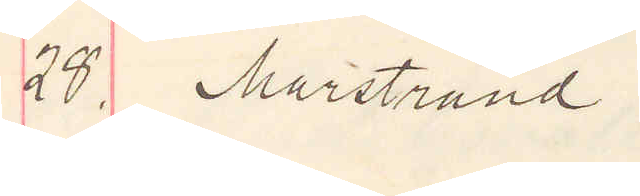28. Marstrand.
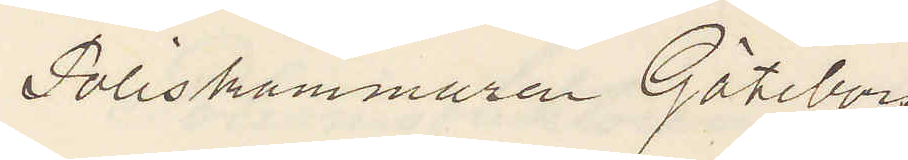Poliskammaren Göteborg
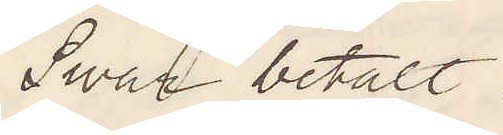Swar betalt
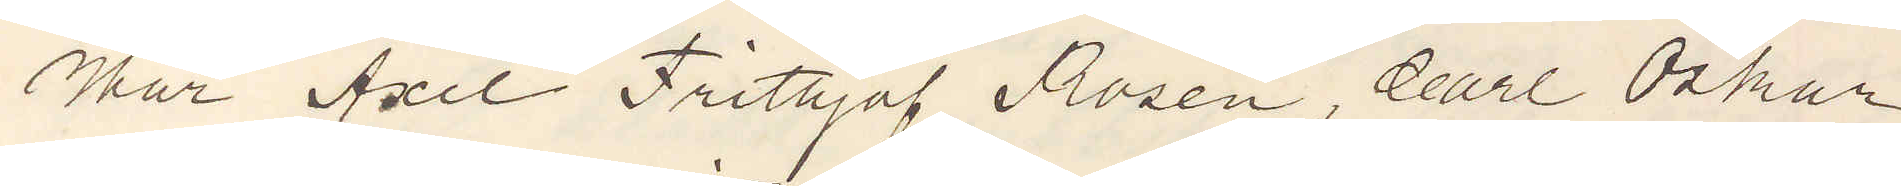Har Axel Frithjof Rosén, Carl Oskar
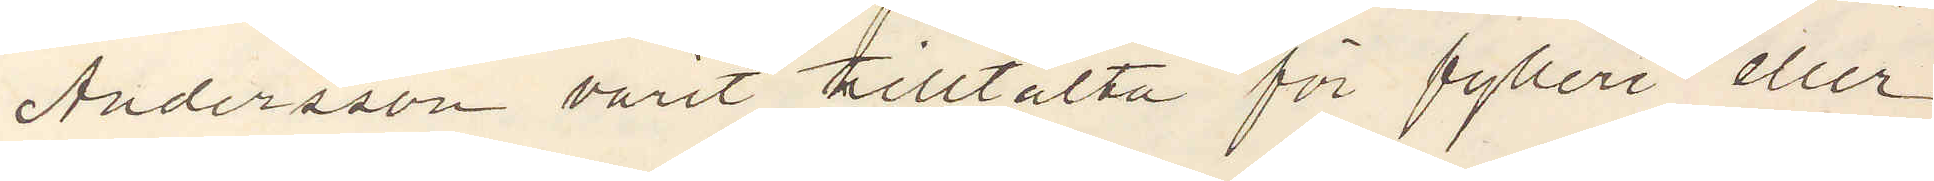Andersson varit tilltalta för fylleri eller
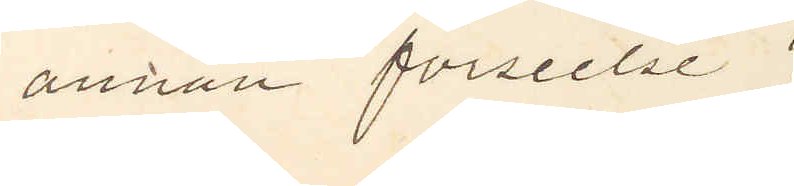annan förseelse?
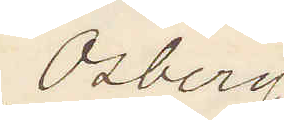Osberg.
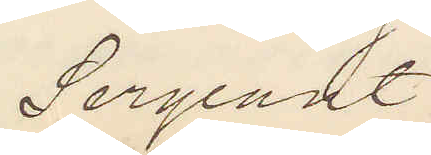Sergeant.
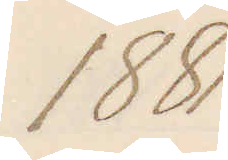1881
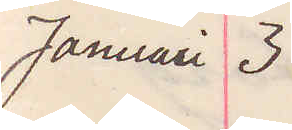Januari 3
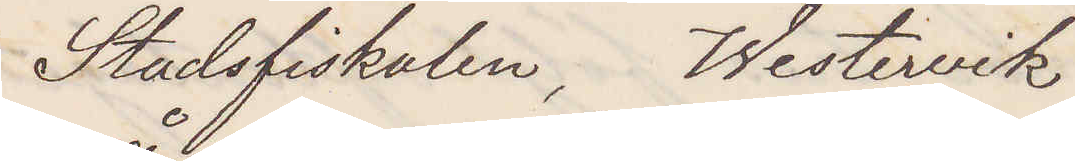Stadsfiskalen, Westervik
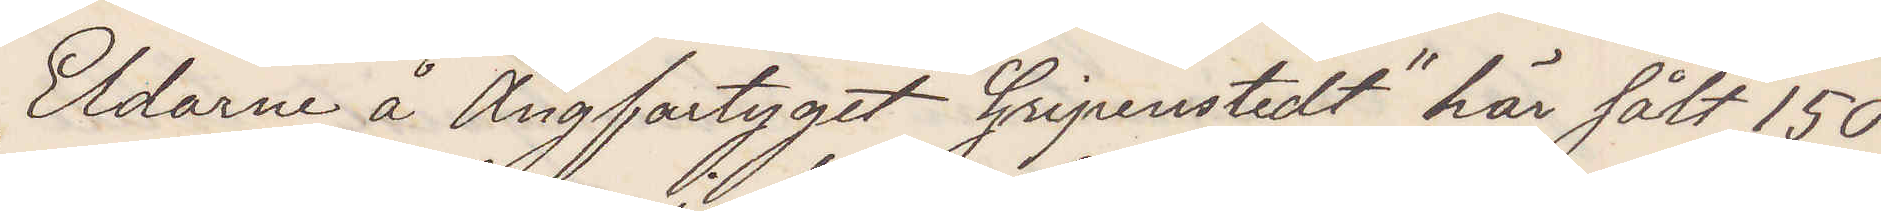Eldarne å Ångfartyget "Gripenstedt" här sålt 150
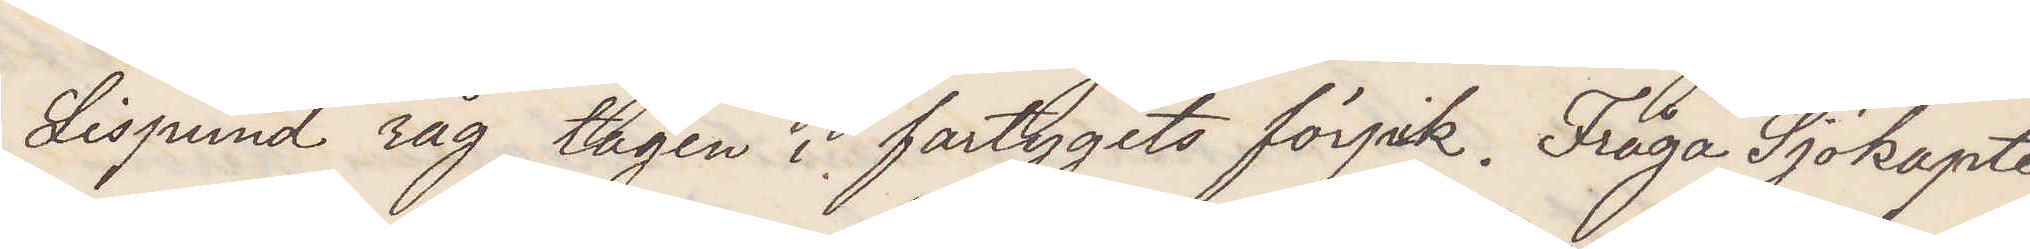Lispund råg, tagen i fartygets förpik. Fråga Sjökapte¬
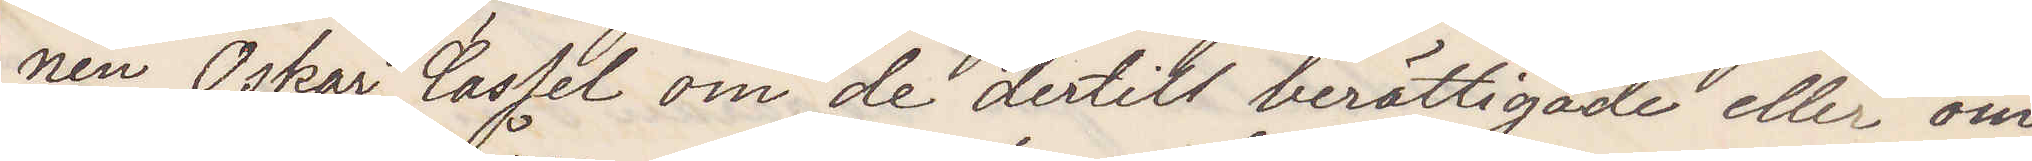nen Oskar Cassel om de dertil berättigade eller om
